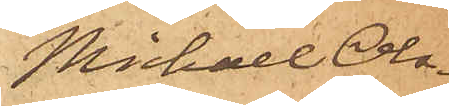Michael Ols¬
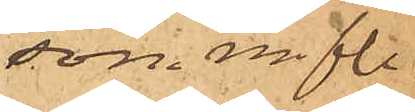son m. fl.
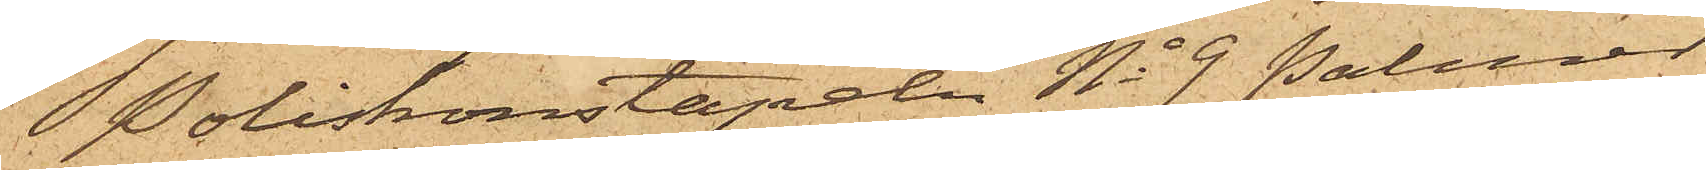Poliskonstapeln No 9 Palmér
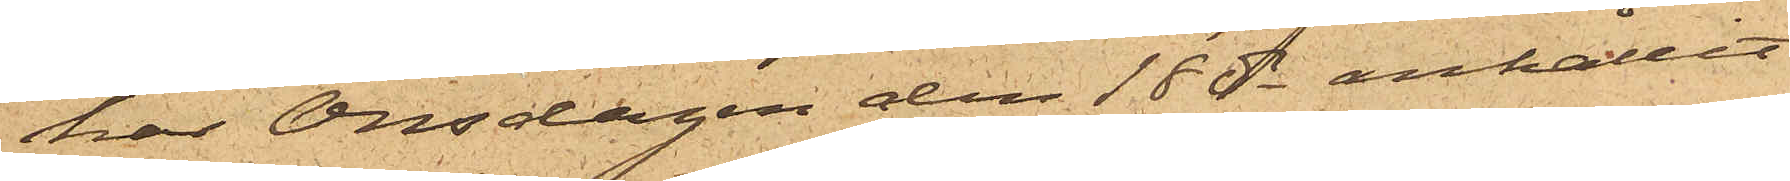har Onsdagen den 18 ds anhållit
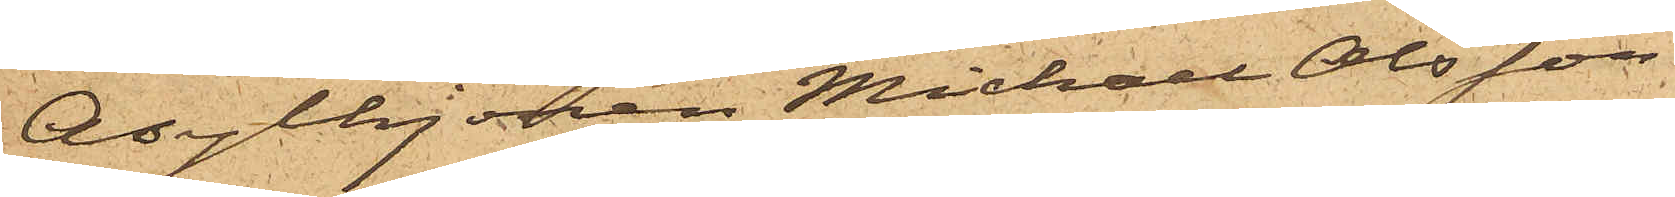Asylhjonen Michael Olsson,
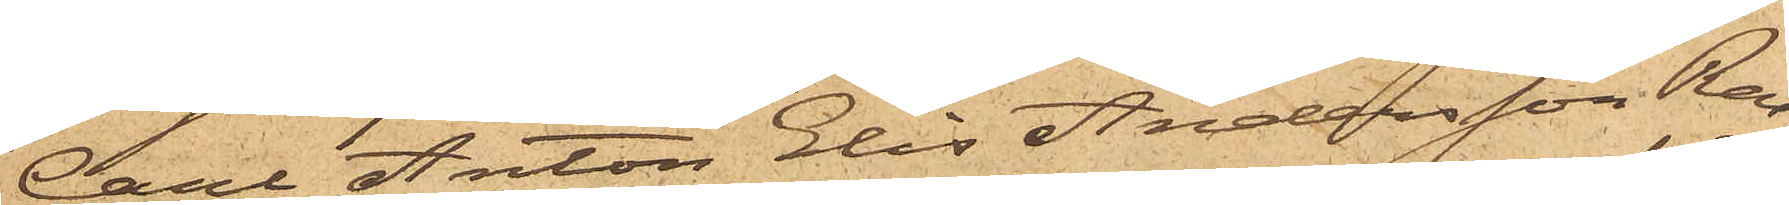Carl Anton Elis Andersson Ros
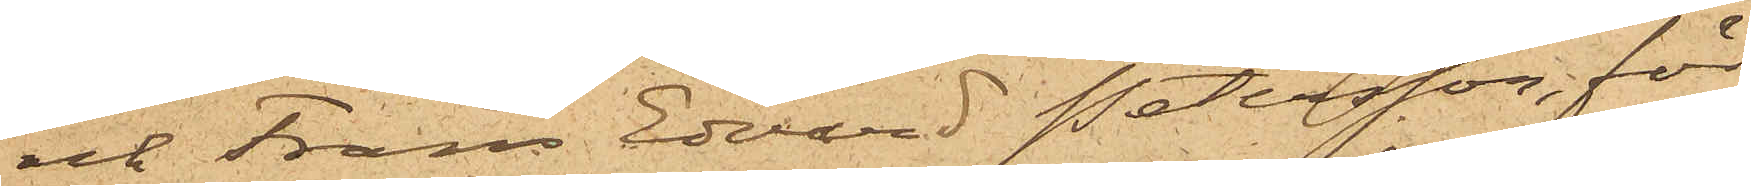och Frans Edvard Petersson, för
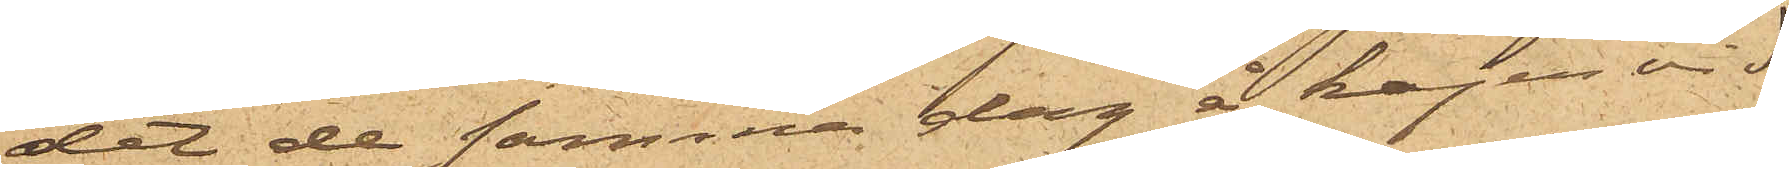det de samma dag å kajen vid
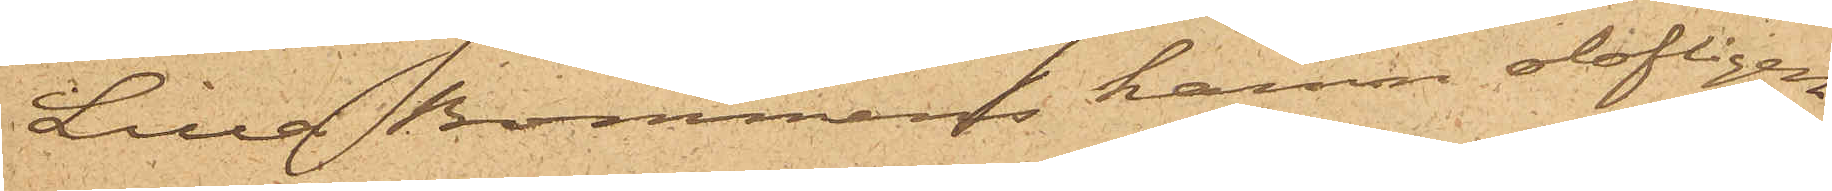Lilla Bommens hamn olofligen
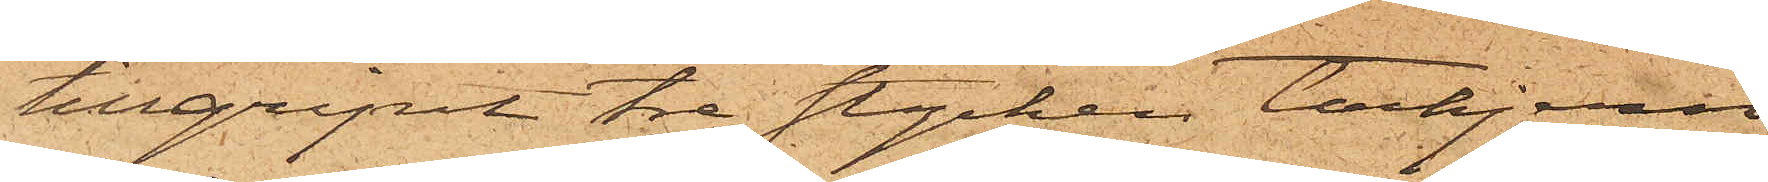tillgripit tre stycken tackjern
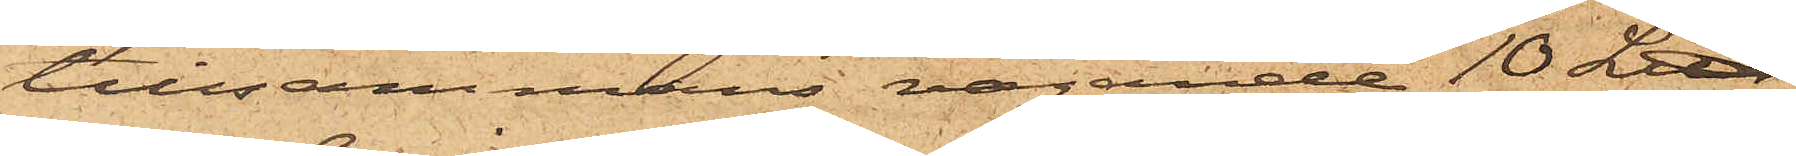tillsammans vägande 10 L℔,
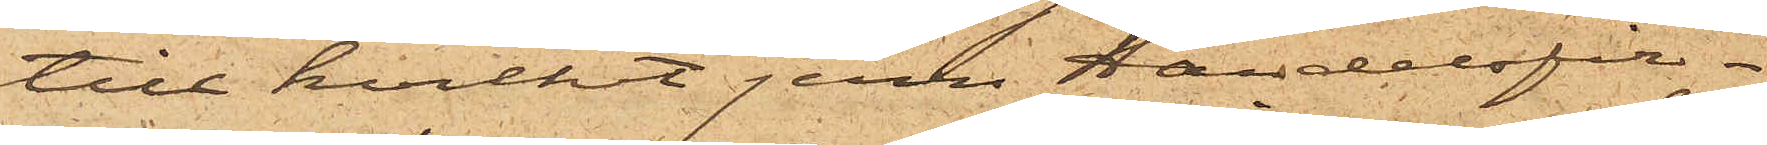till hvilket jern Handelsfir¬
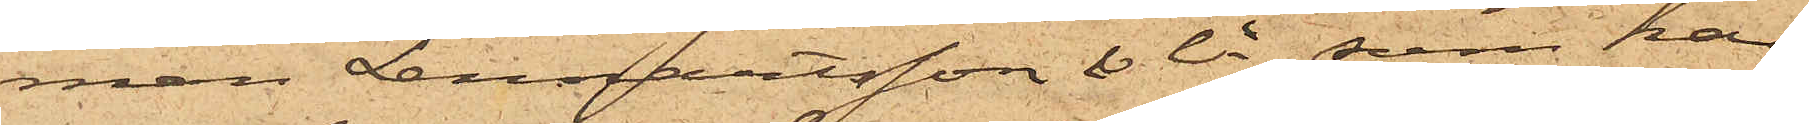man Lennartsson & Ci, som har
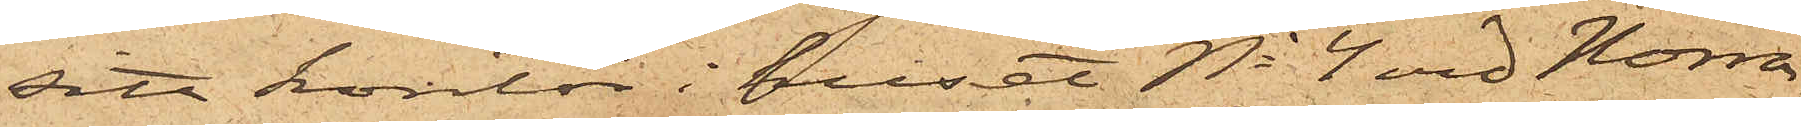sitt kontor i huset No 4 vid Norra
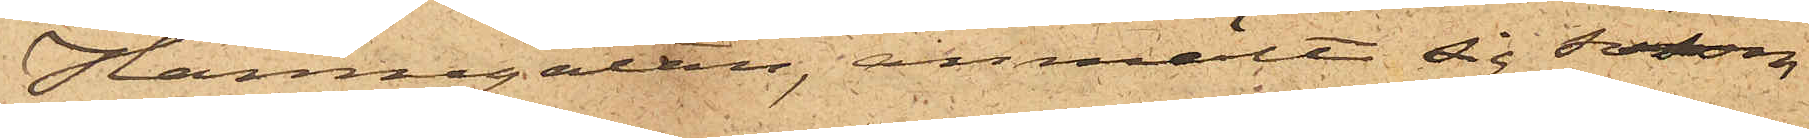Hamngatan, anmält sig som
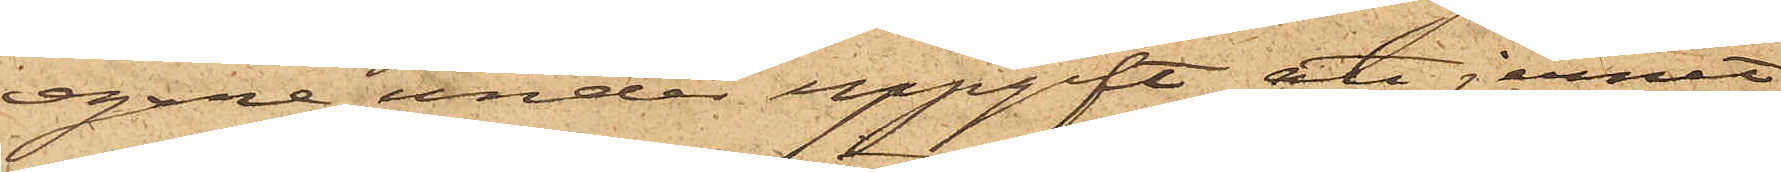egare under uppgift att jernet,
